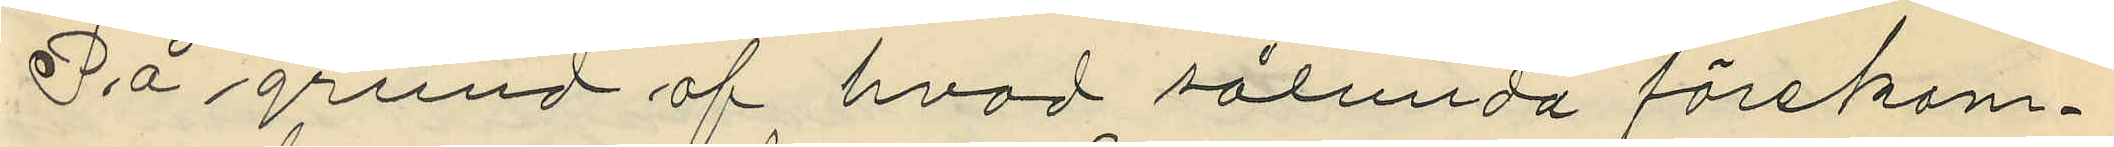På grund af hvad sålunda förekom¬
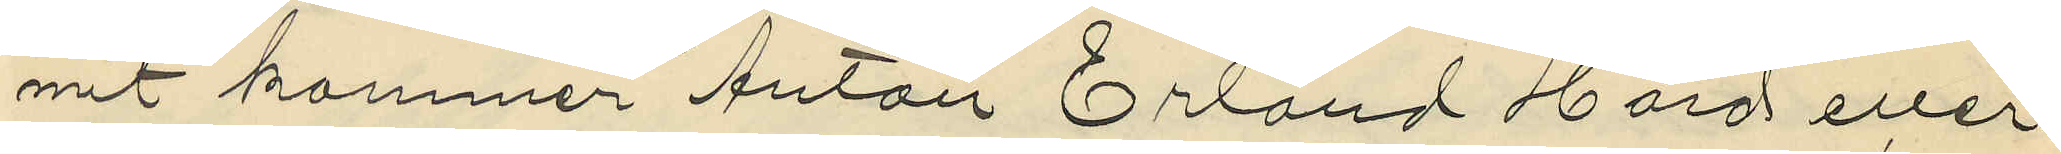mit kommer Anton Erland Hård eller
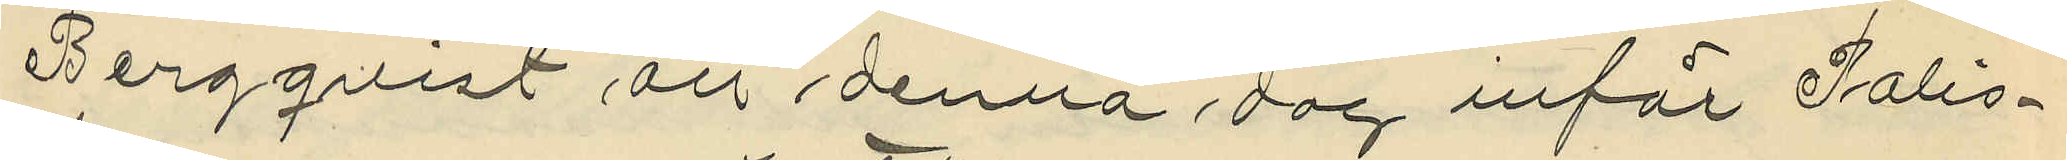Bergqvist att denna dag inför Polis¬
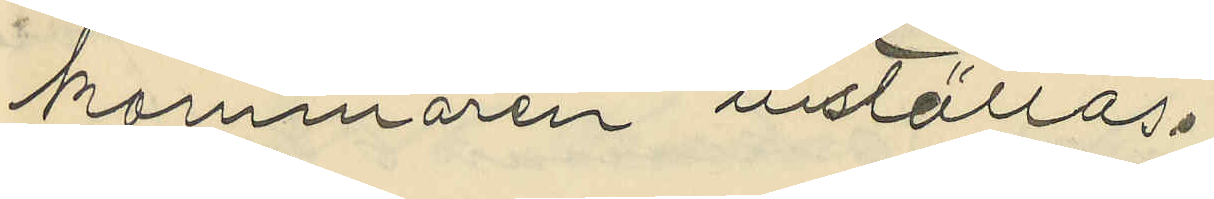kammaren inställas.
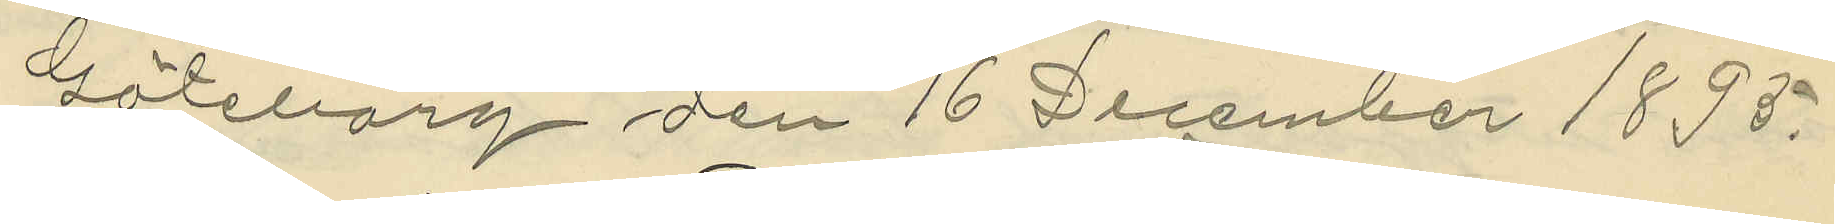Göteborg den 16 December 1895.
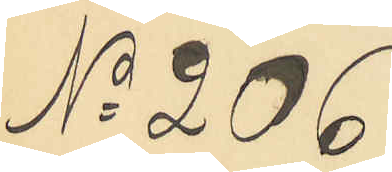No 206
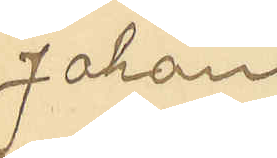Johan
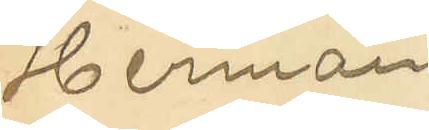Herman
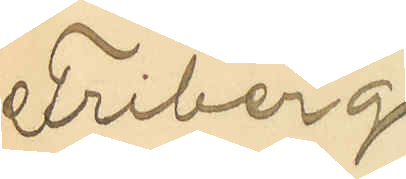Friberg
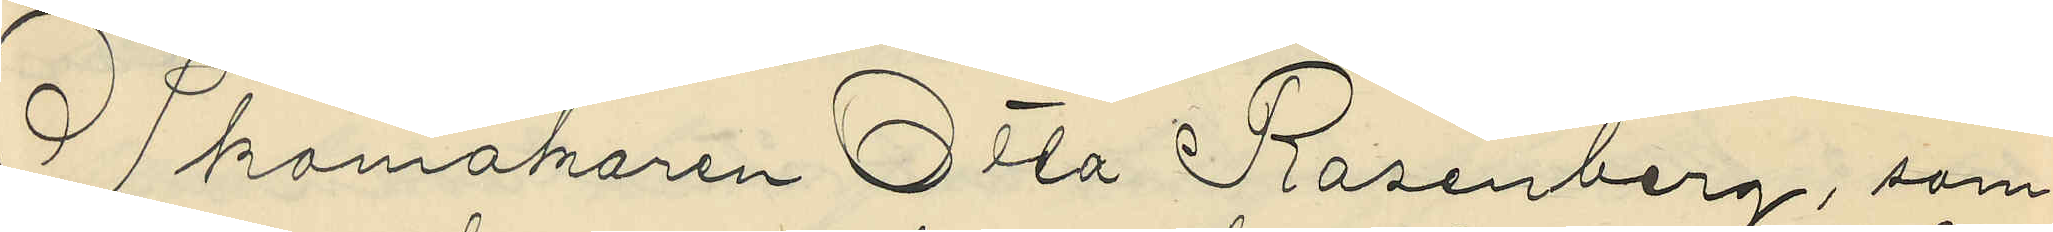Skomakaren Otto Rosenberg, som
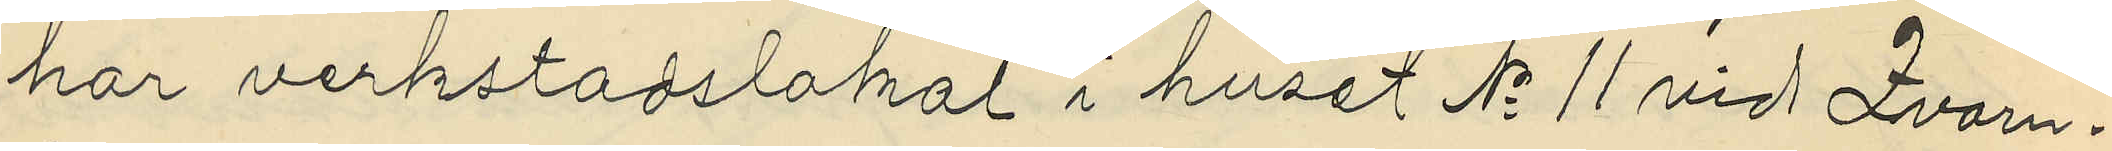har verkstadslokal i huset No 11 vid Qvarn¬
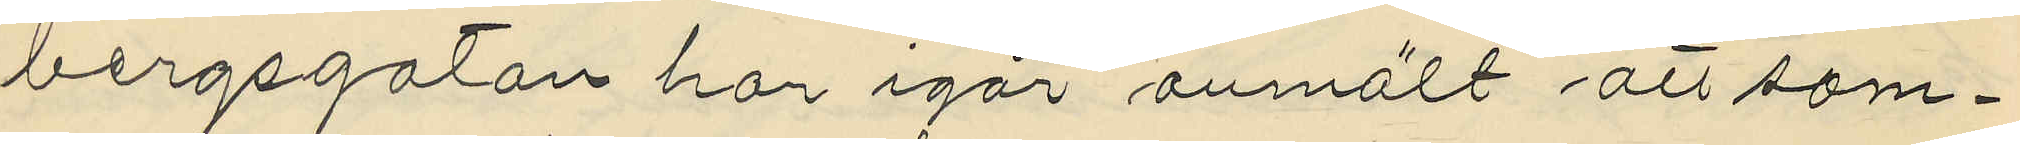bergsgatan har igår anmält att sam¬
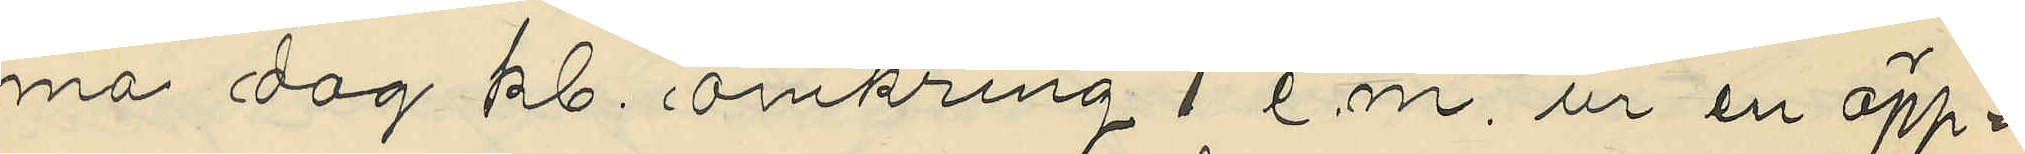ma dag kl. omkring 1 e.m. ur en öpp¬
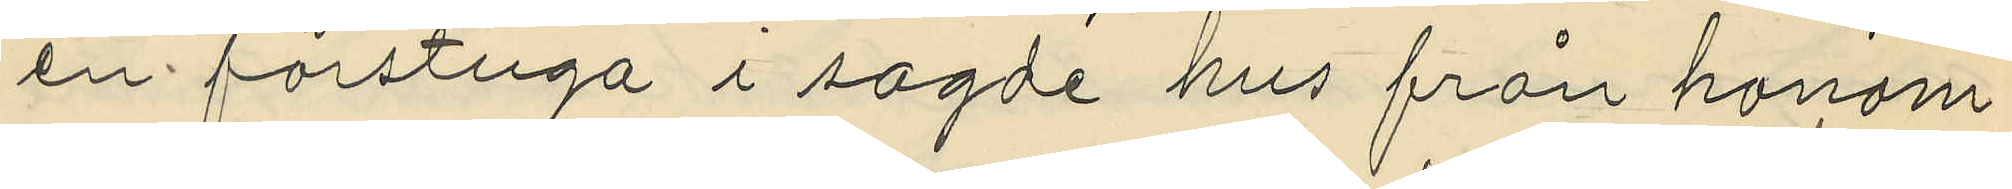en förstuga i sagde hus från honom
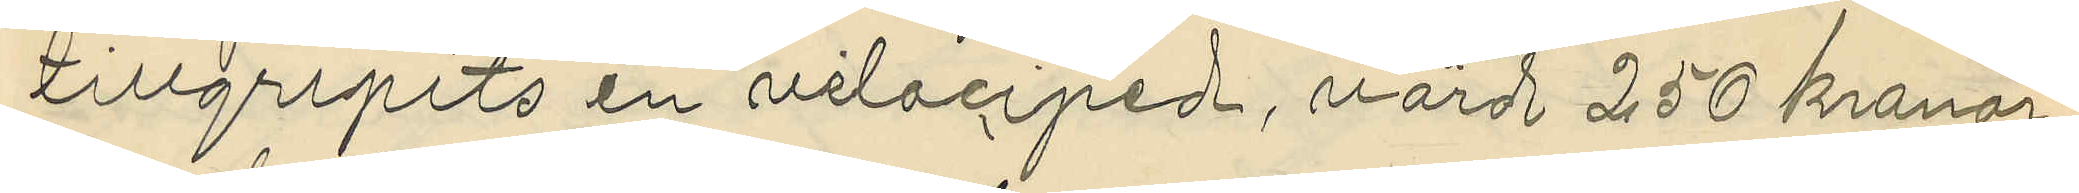tillgripits en velociped, värdt 250 kronor.
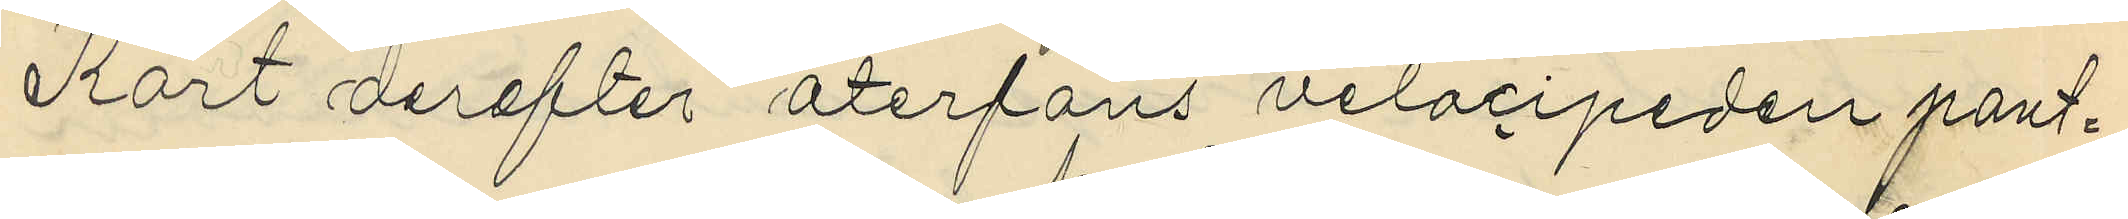Kort derefter återfans velocipeden pant¬
